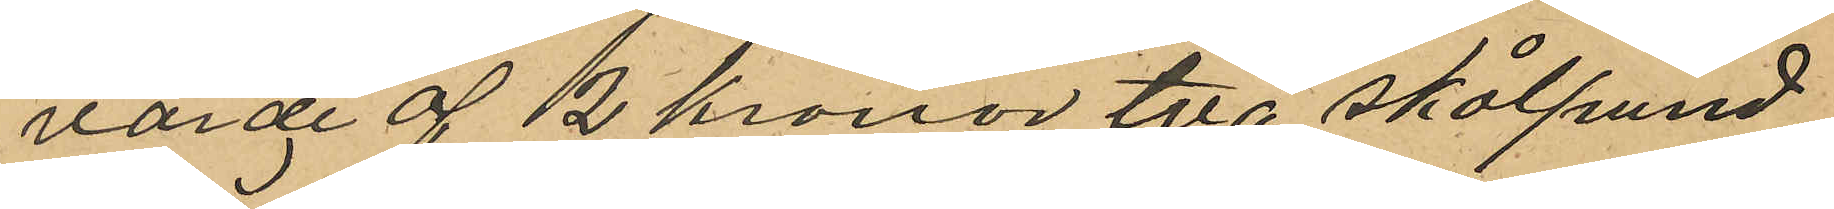värde af 2 kronor två skålpund
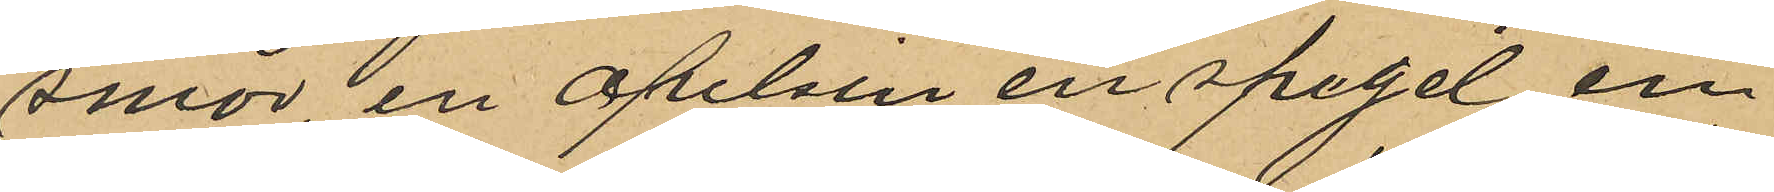smör en apelsin en spegel en
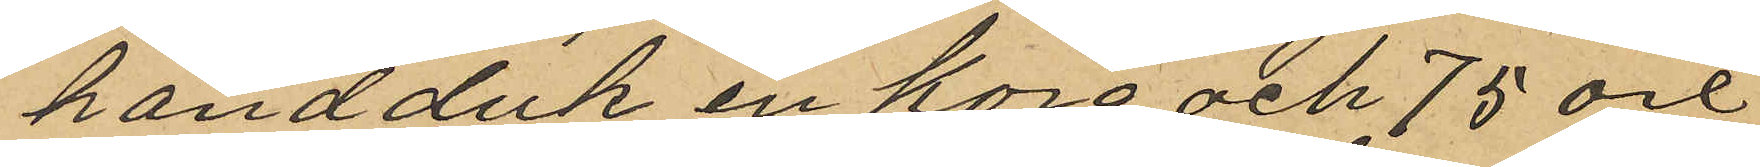handduk en korg och 75 öre
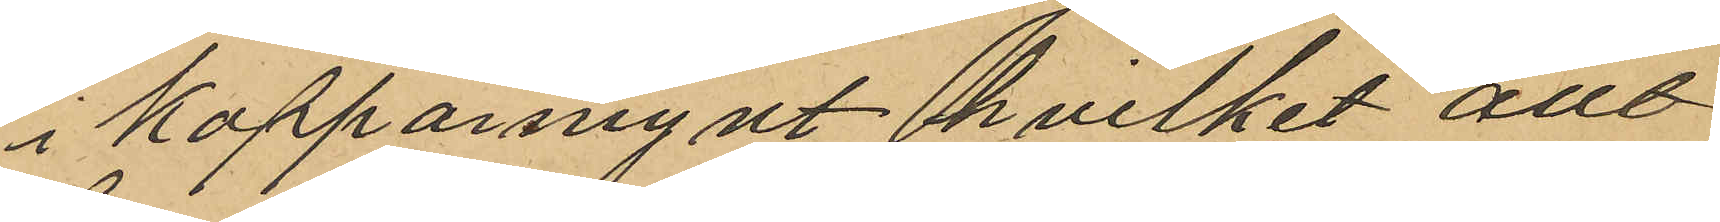i kopparmynt hvilket allt
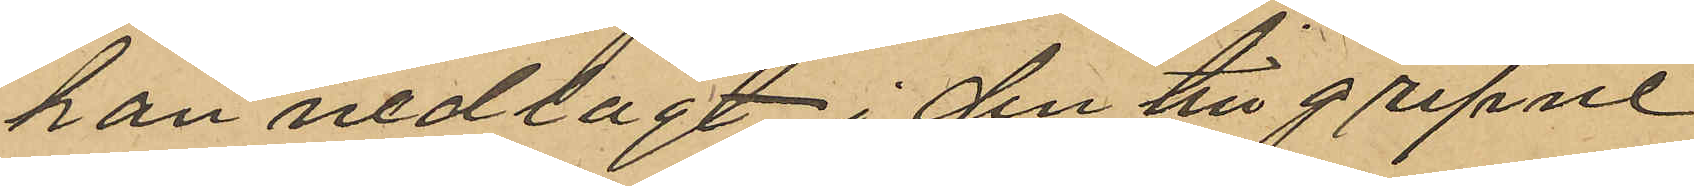han nedlagt i den tillgripne
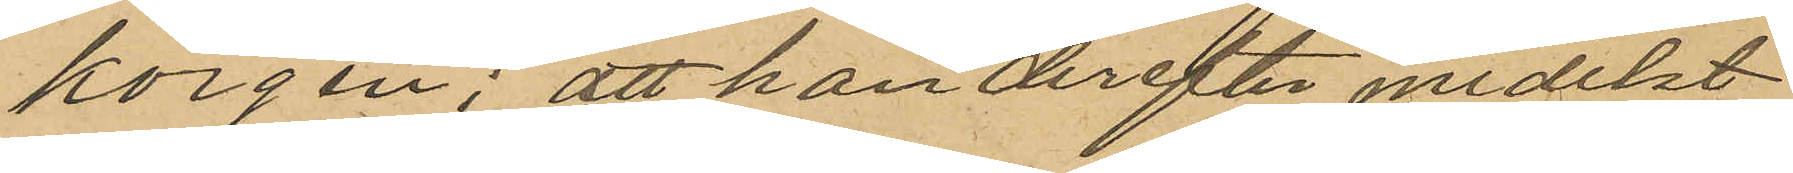korgen; att han derefter medelst
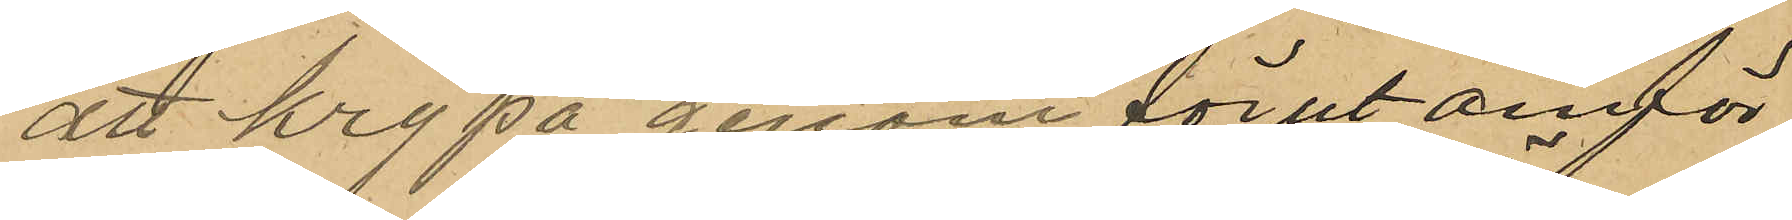att krypa genom förut omför¬
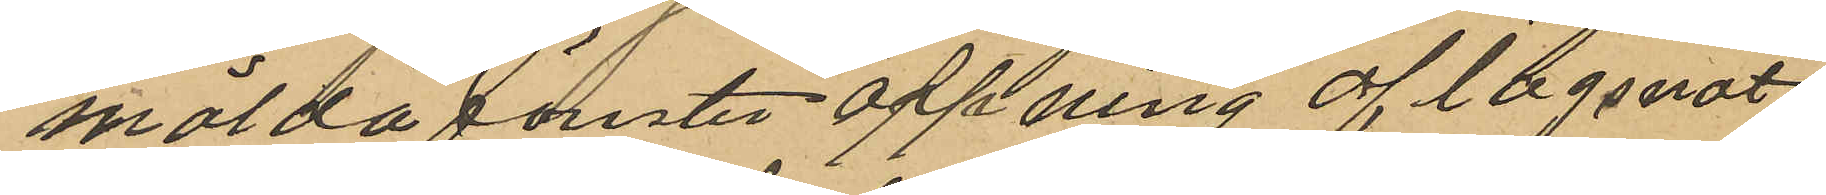mälda fönsteröppning aflägsnat
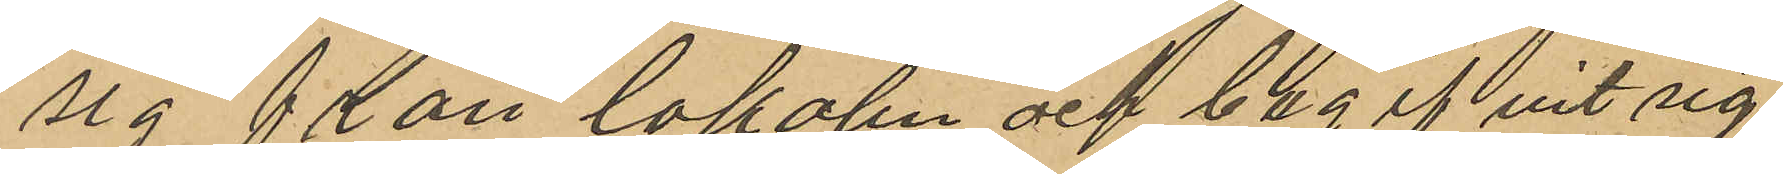sig från lokalen och begifvit sig
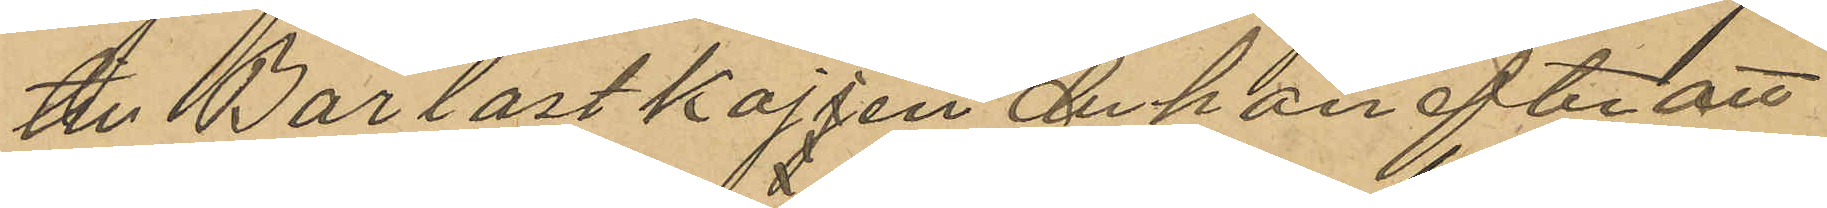till Barlastkajjen der han efter att
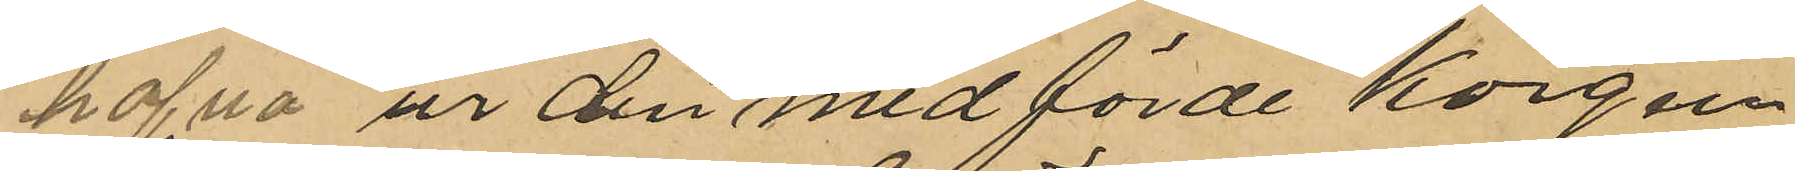hafva ur den medförde korgen
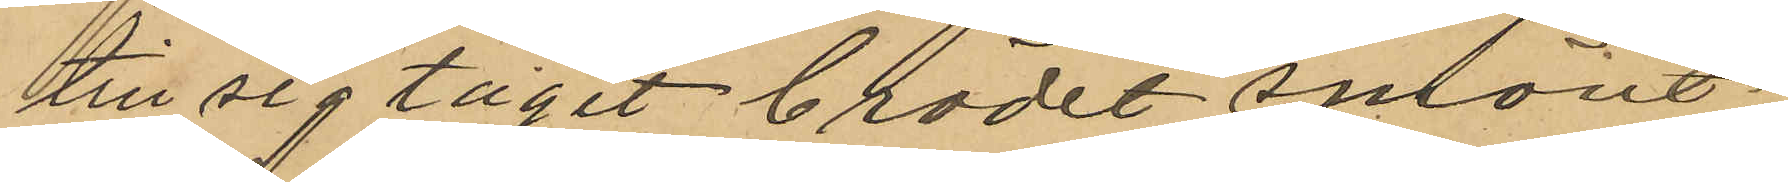till sig tagit brödet smöret
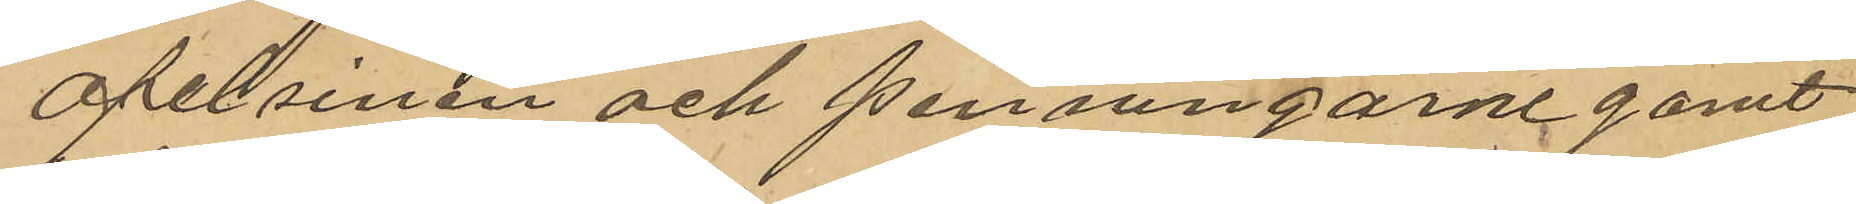apelsinen och penningarne gömt
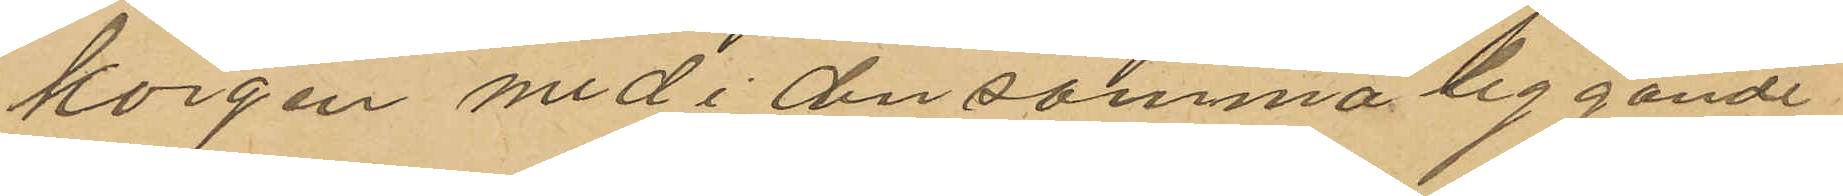korgen med i densamma liggande
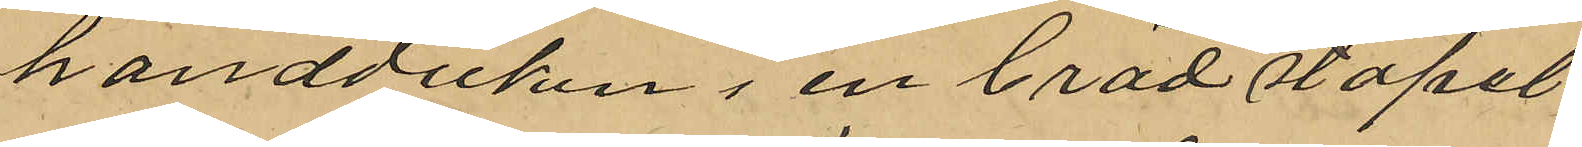handduken i en brädstapel
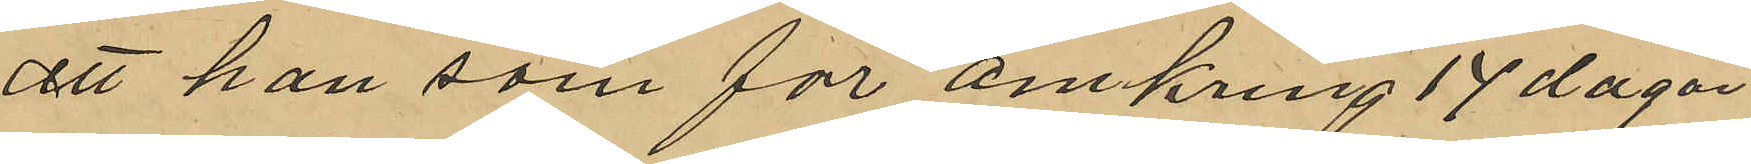att han som för omkring 17 dagar
